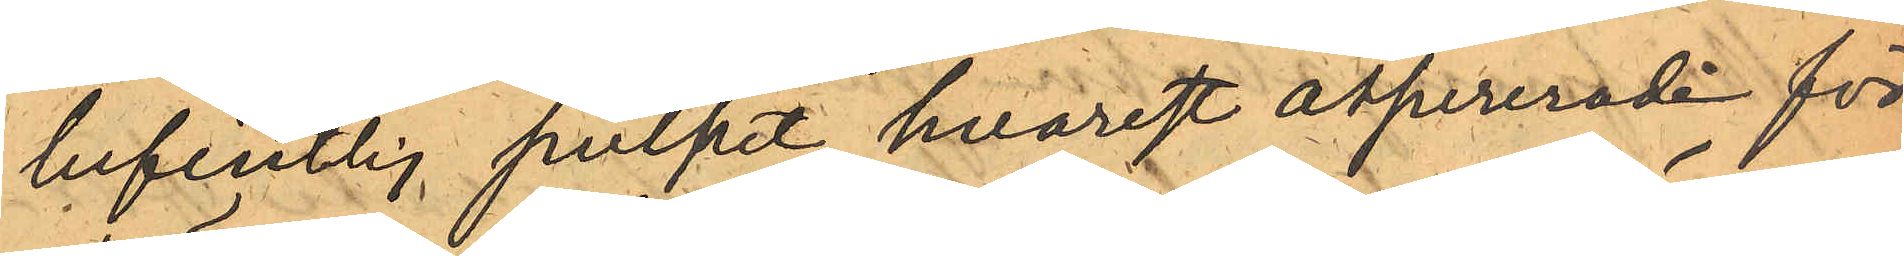befintlig pulpet hvarest assurerade för¬
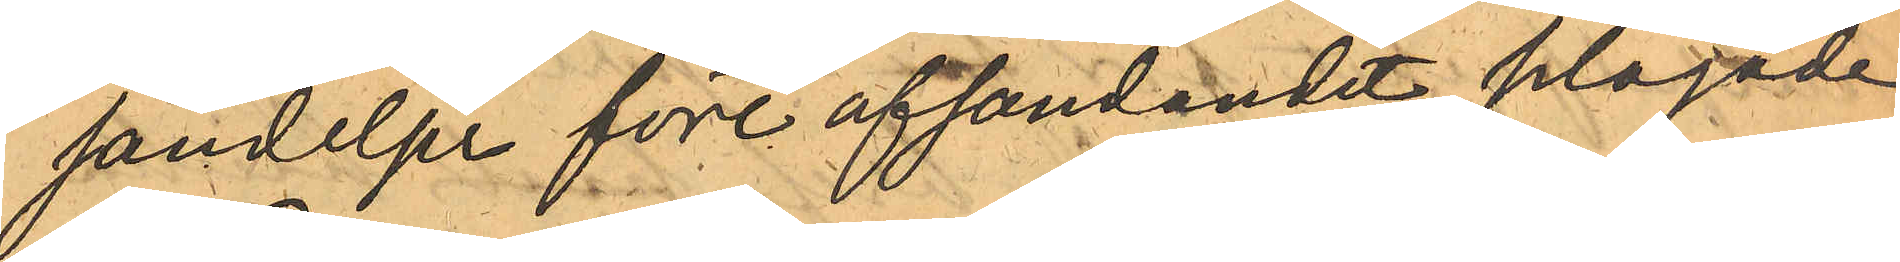sändelser före afsändandet plägade
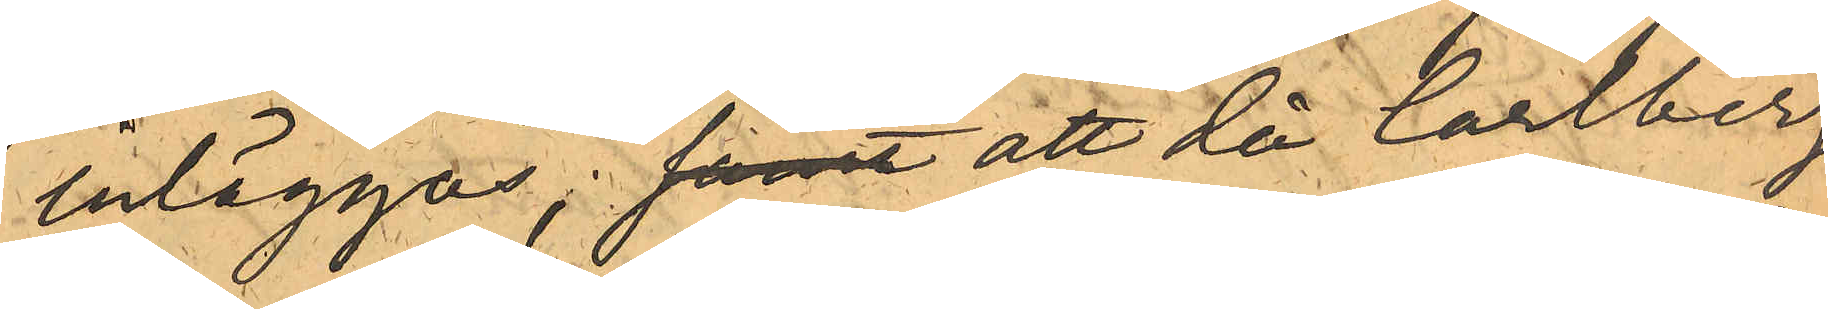inläggas; samt att då Carlberg
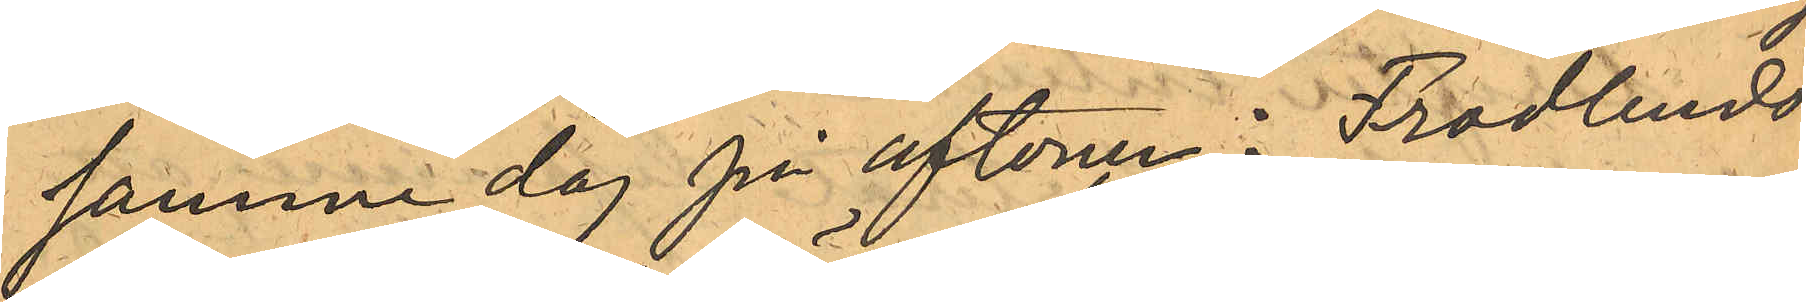samma dag på aftonen i Frodlunds
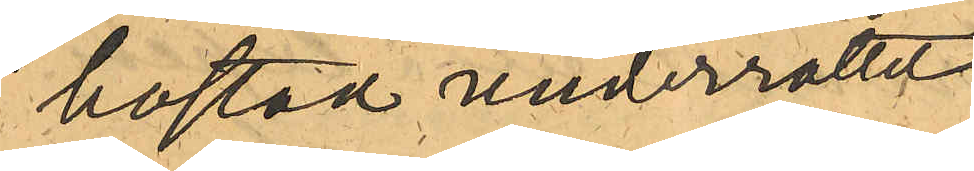bostad underrättat
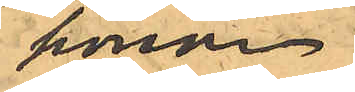honom
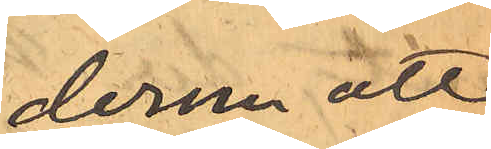derom att
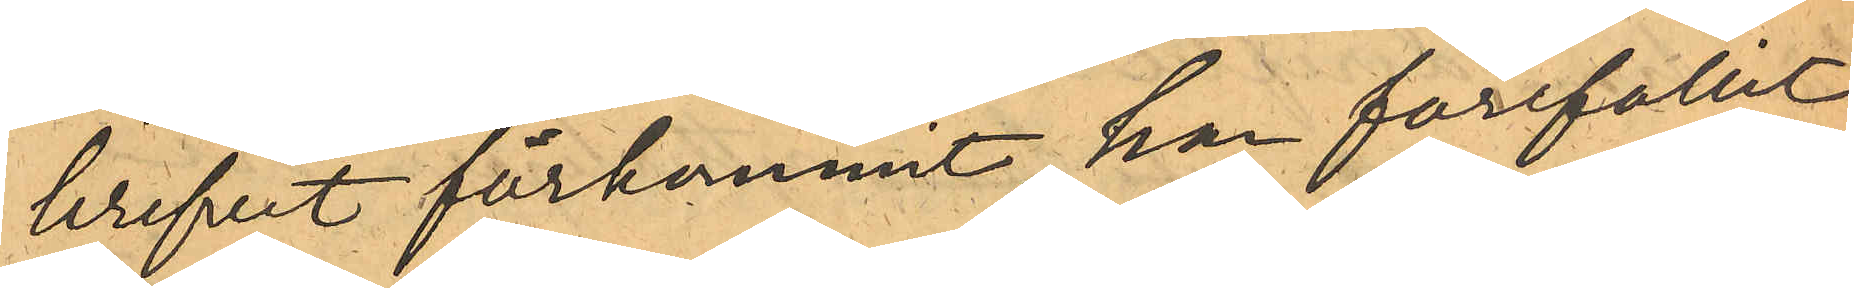brefvet förkommit, han förefallit
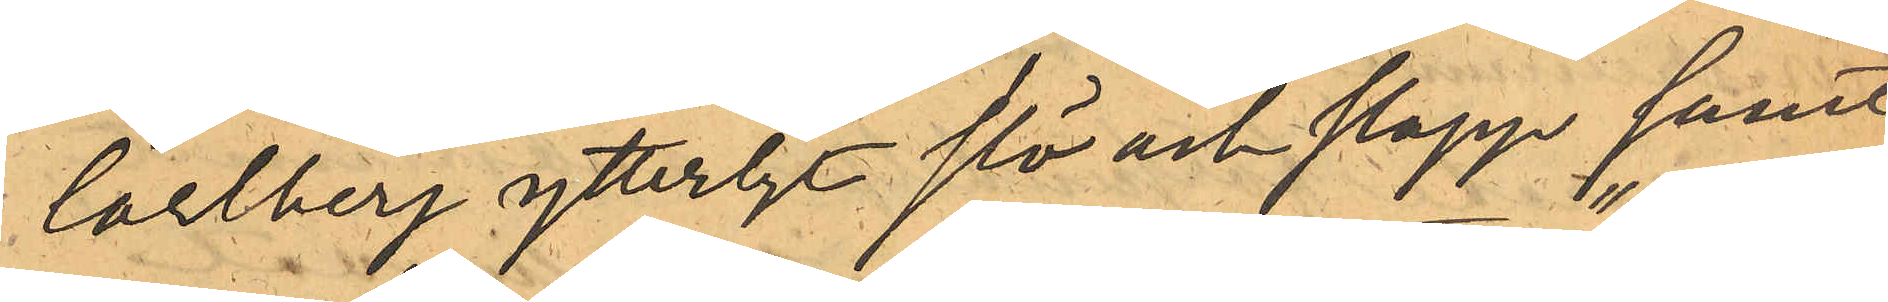Carlberg ytterligt slö och slapp, samt
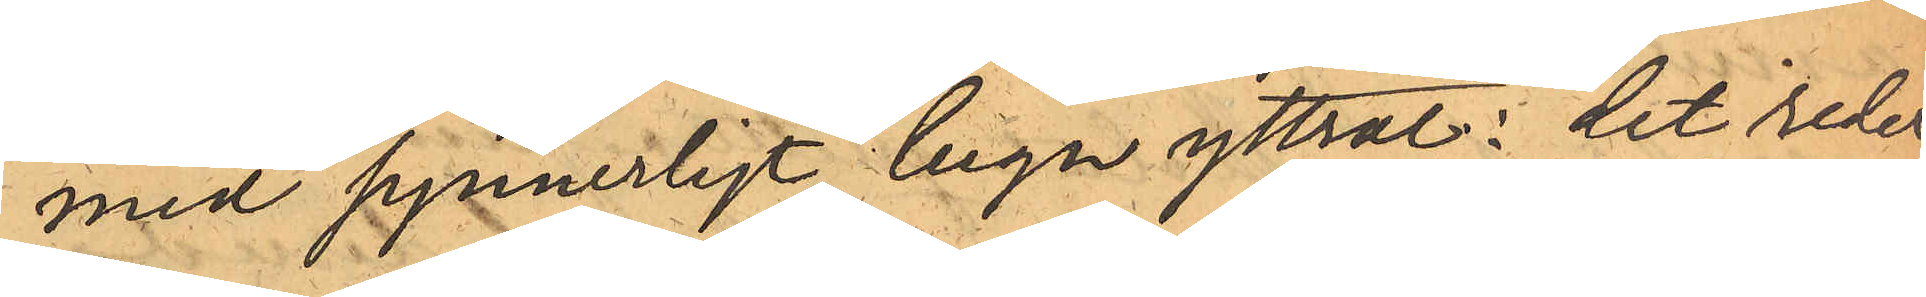med synnerligt lugn yttrat: "det reder
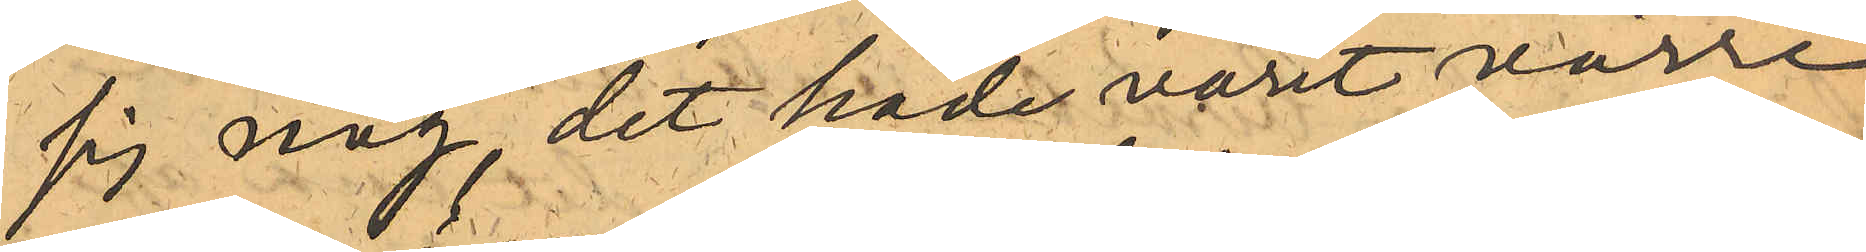sig nog, det hade varit värre
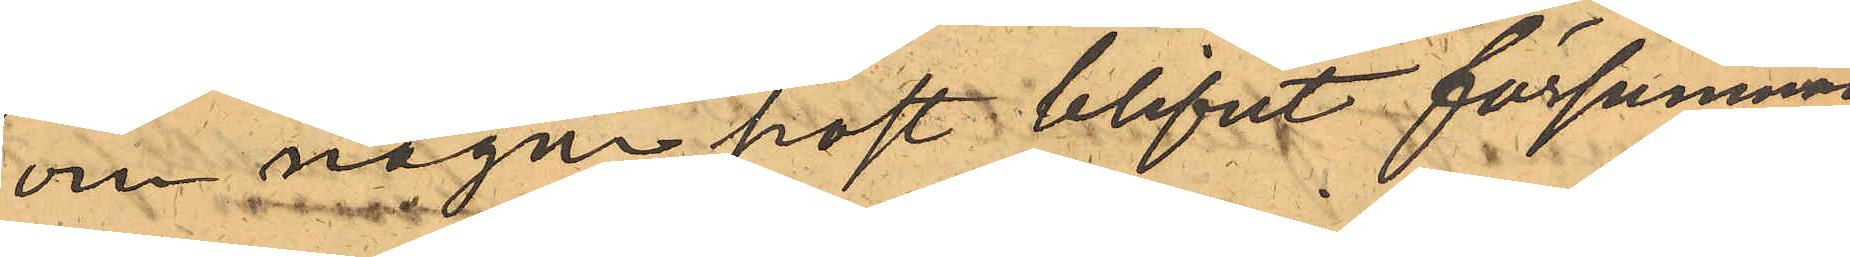om någon post blifvit försummad"
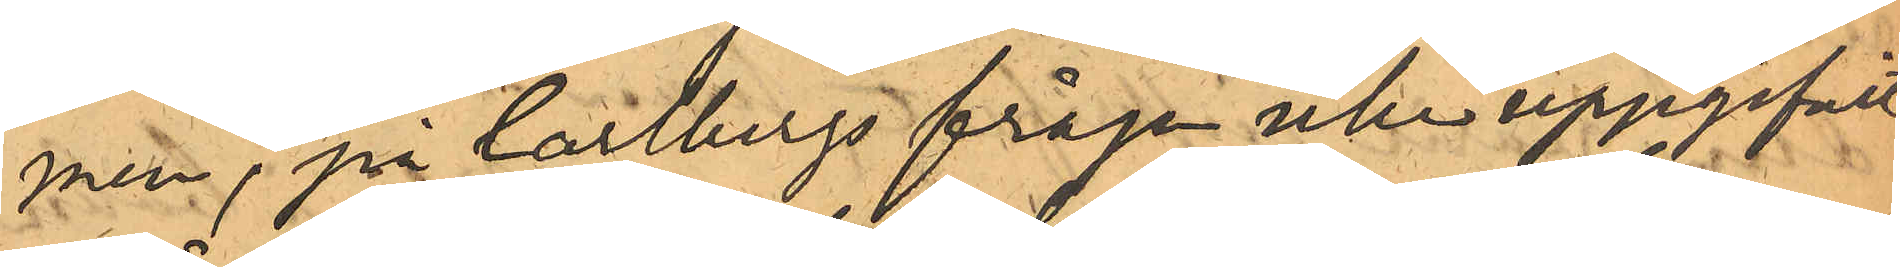men, på Carlbergs fråga icke uppgifvit
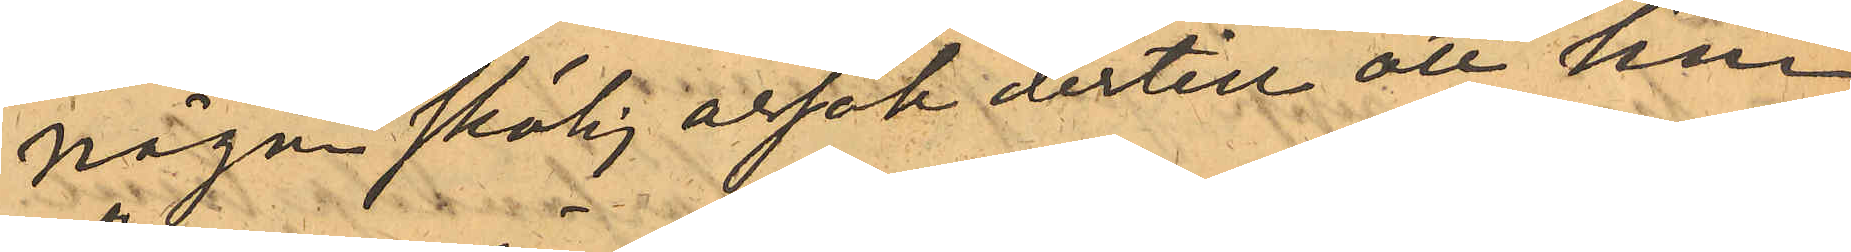någon skälig orsak dertill att han
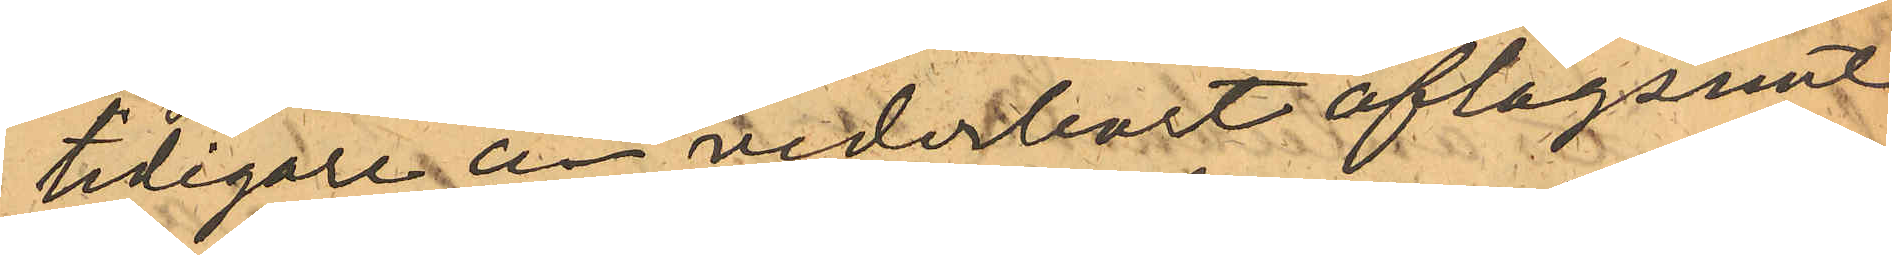tidigare än vederbort aflägsnat
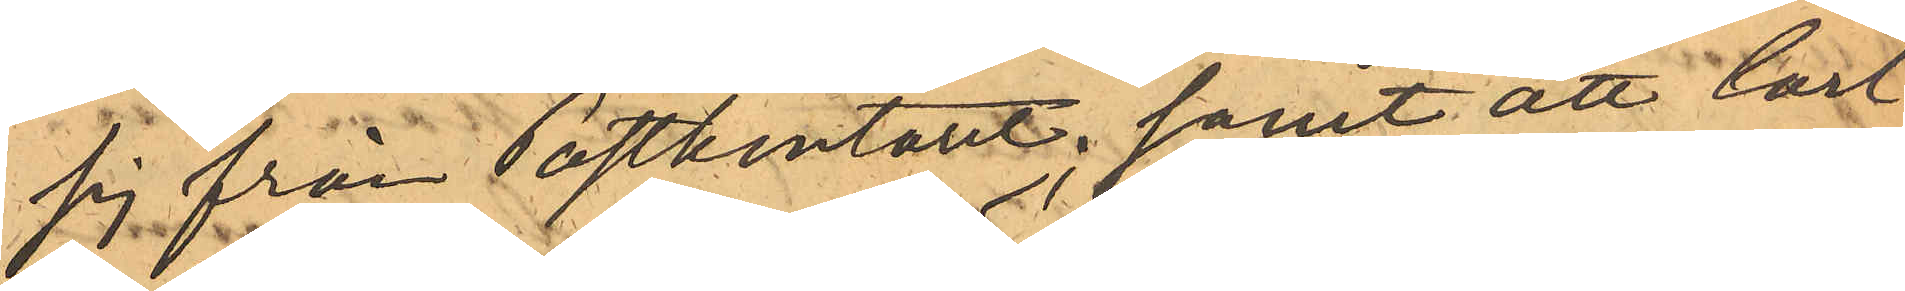sig från Postkontoret; samt att Carl¬
